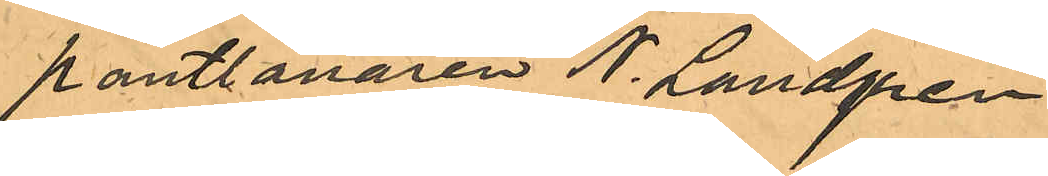pantlånaren N. Landgren
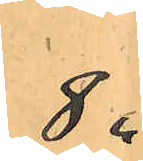8 "
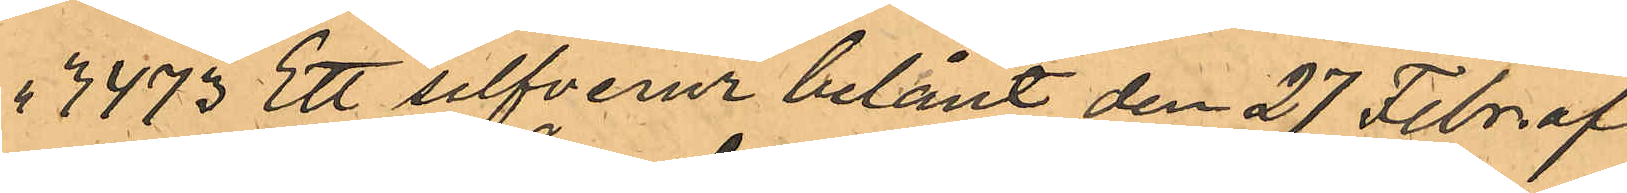" 3473 Ett silfverur belånt den 27 Febr. af
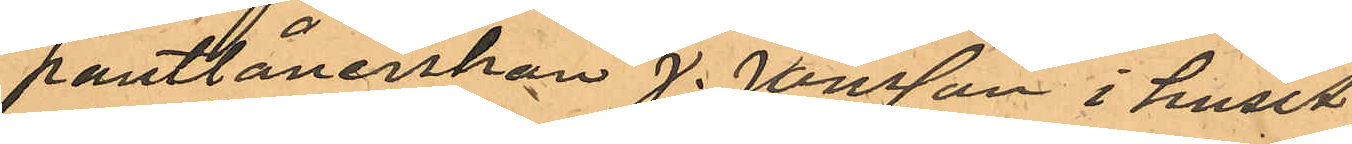pantlånerskan J. Jonsson i huset
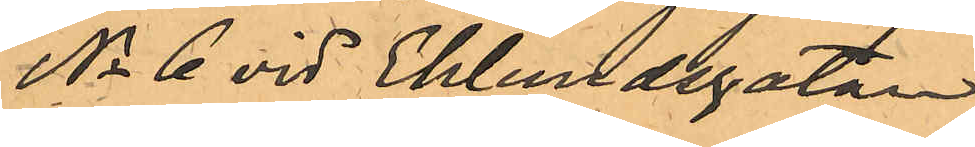No 6 vid Eklundsgatan
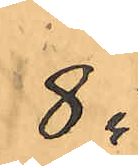8 "
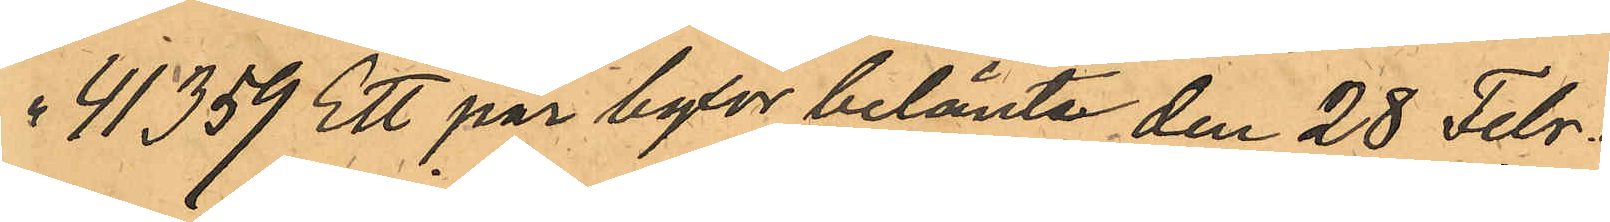41359 Ett par byxor belånte den 28 Febr. å
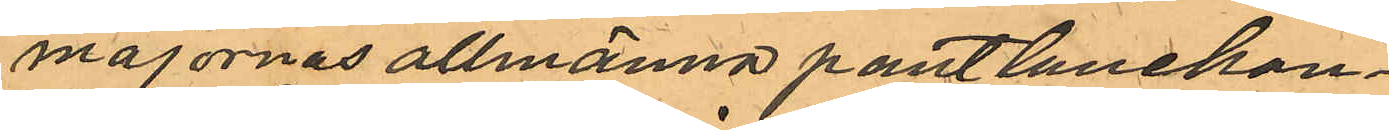majornas allmänna pantlånekon¬
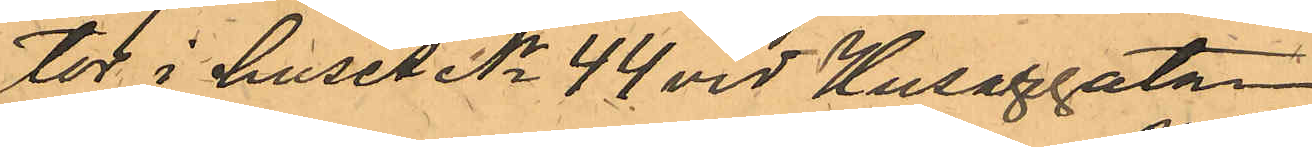tor i huset No 44 vid Husargatan
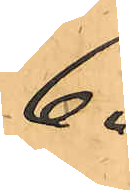6 "
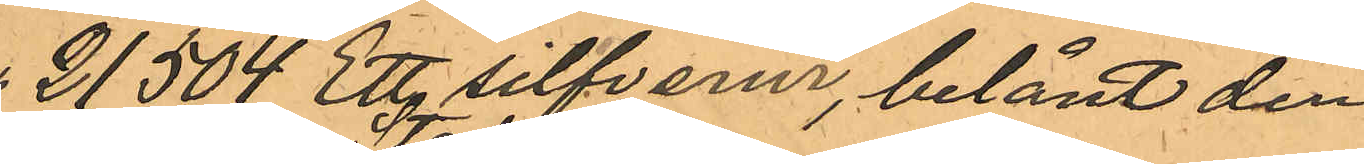21504 Ett sifverur, belånt den
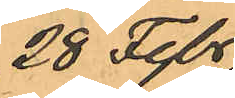28 Febr
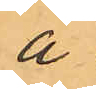å
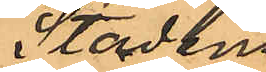Stadens
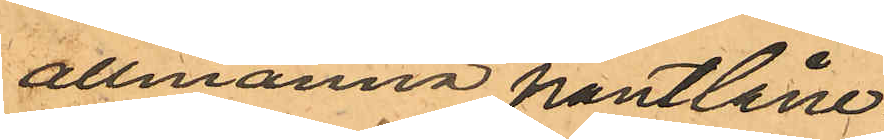allmänna pantlåne¬
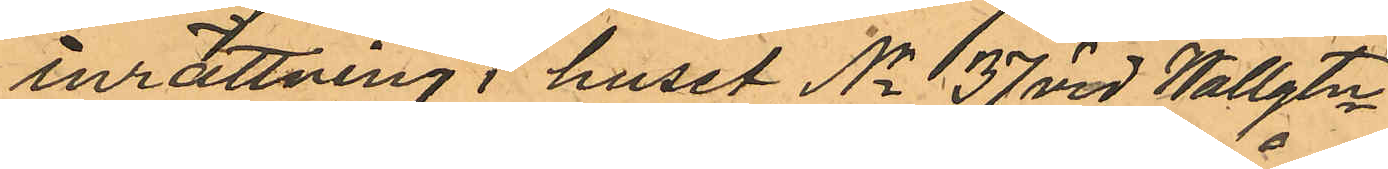inrättning i huset No 37 vid Wallgtn
